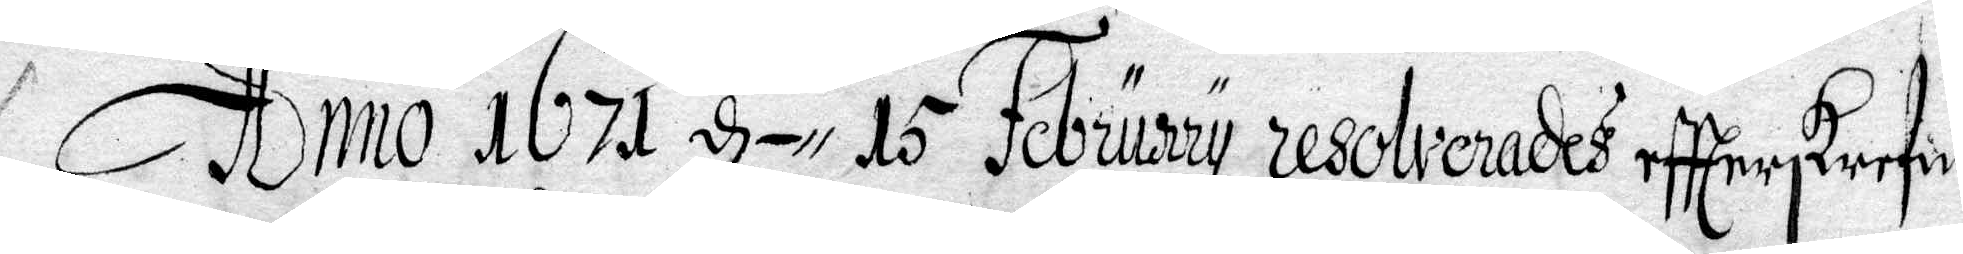Anno 1671 d- 15 February resolverades eftterskrefne
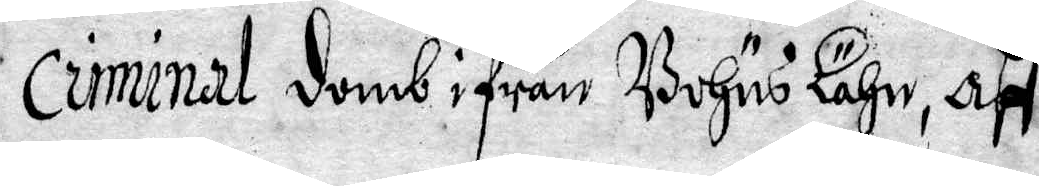criminal domb ifrån Bohus Lähn, aff
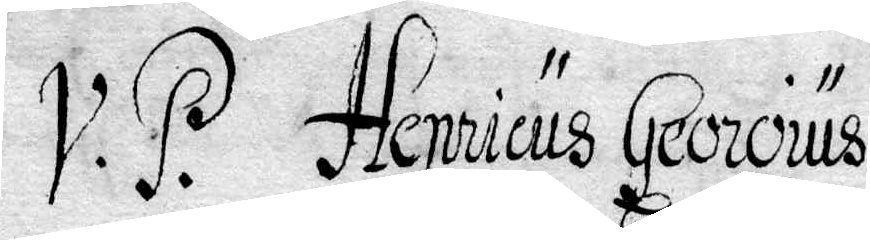V.P. Henricus Georoius
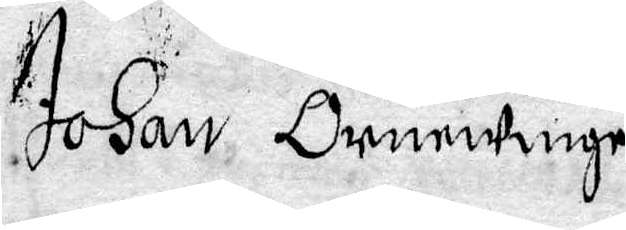Johan Örnewinge
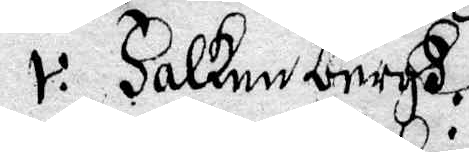v. Falkenbergh
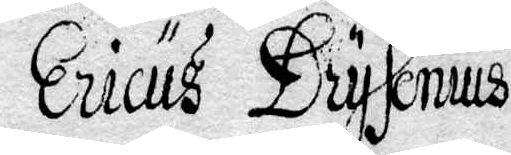Ericus Drysenius
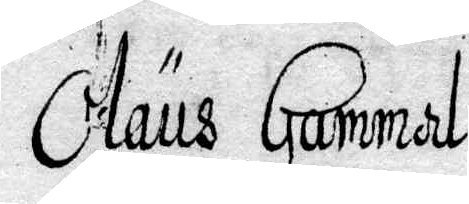Olaus Gammal
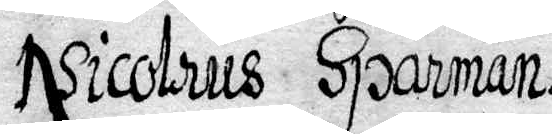Nicolaus Sparman
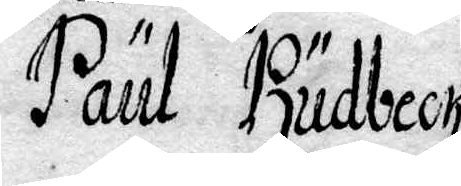Paul Rudbeck
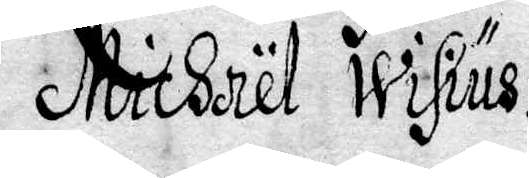Michael Wisius
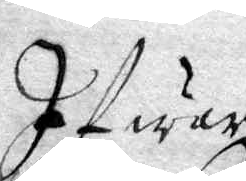Ifwar
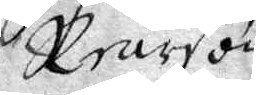Rearson
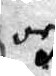och
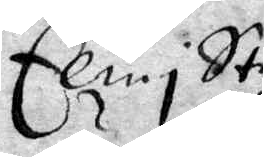Elin i Staz¬
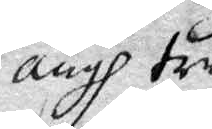ängh trul¬
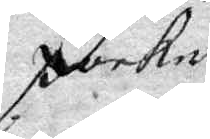packe.
